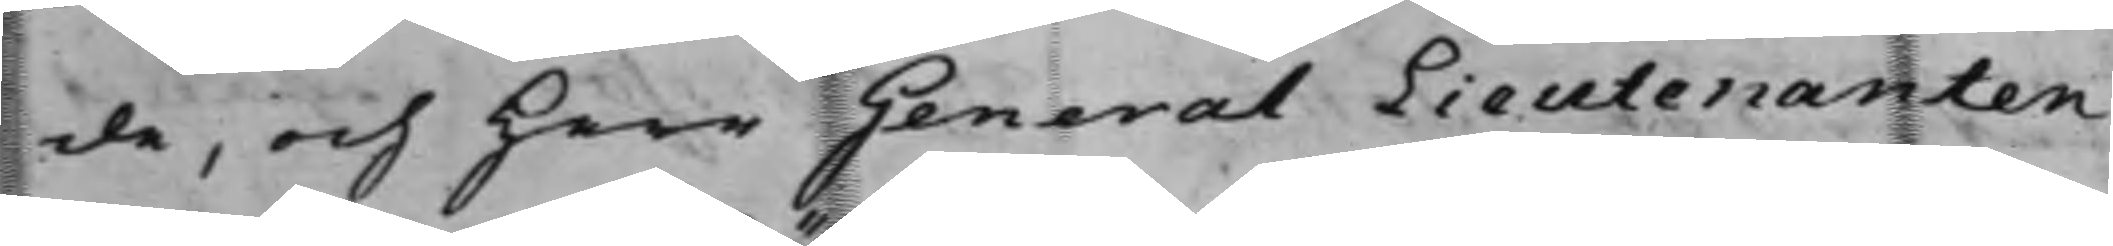de, och Herr General Lieutenanten
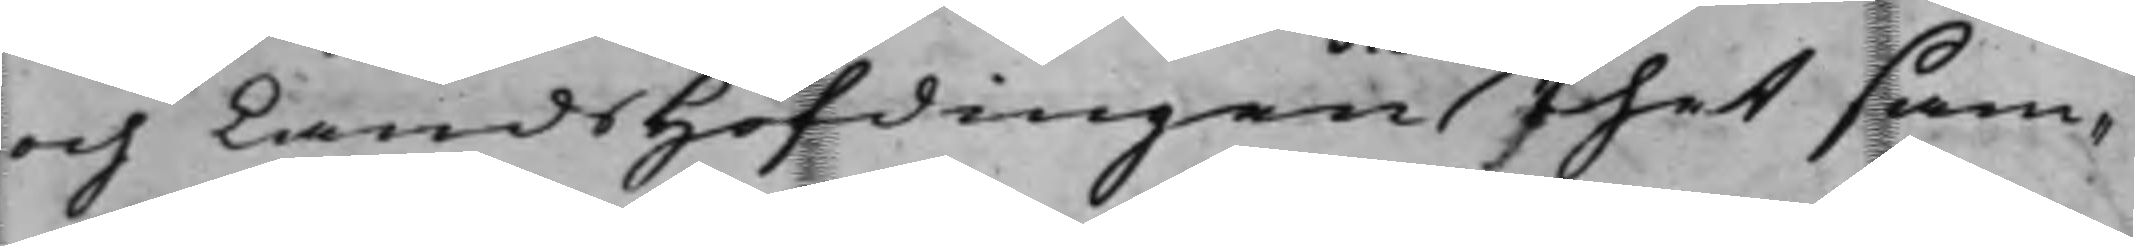och Landshöfdingen thet sam¬
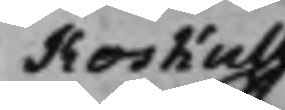Koskull
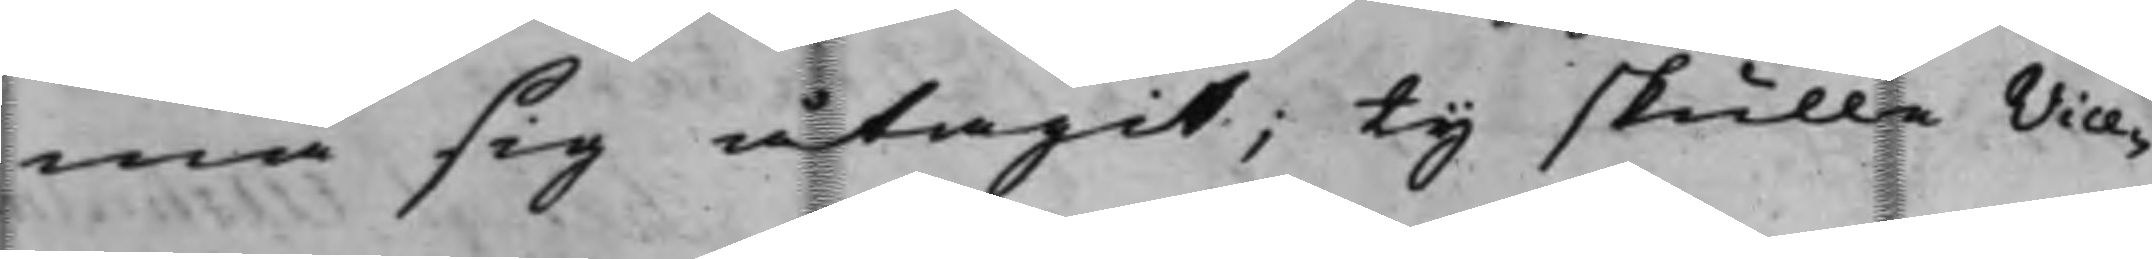ma sig åtagit; ty skulle Vice¬
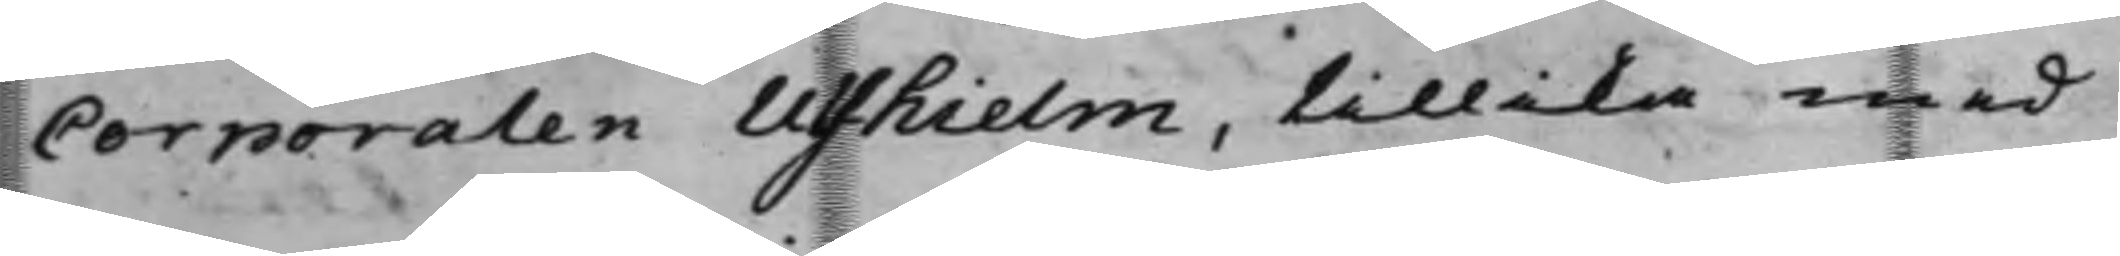Corporalen Ulfhielm, tillika med
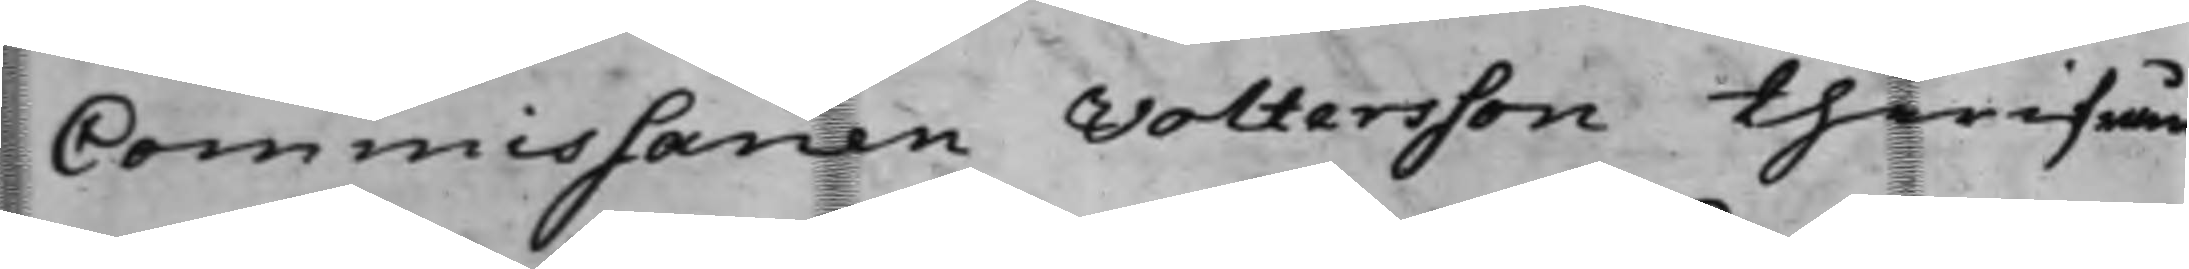Commissarien Voltersson therifrån
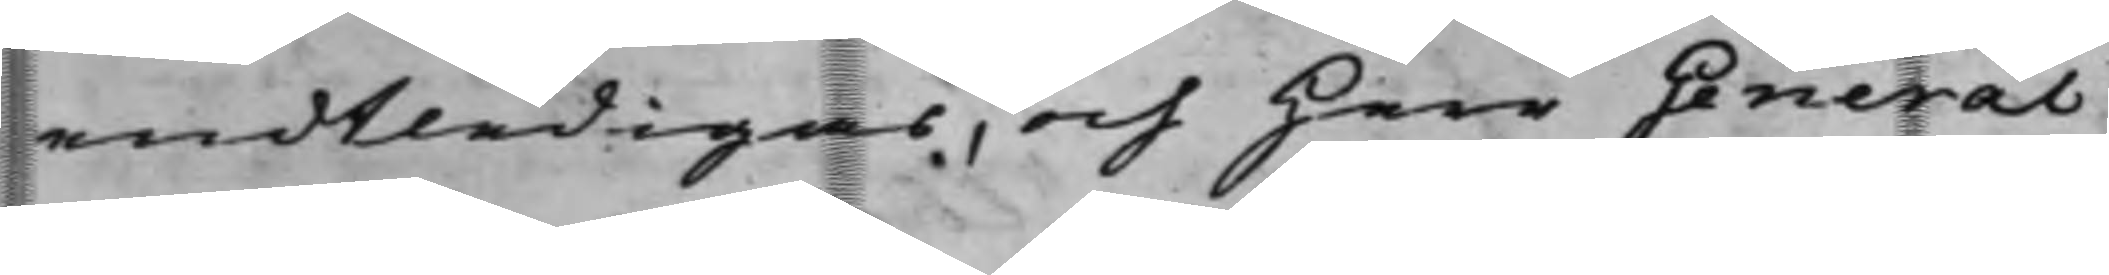endtledigas, och Herr General
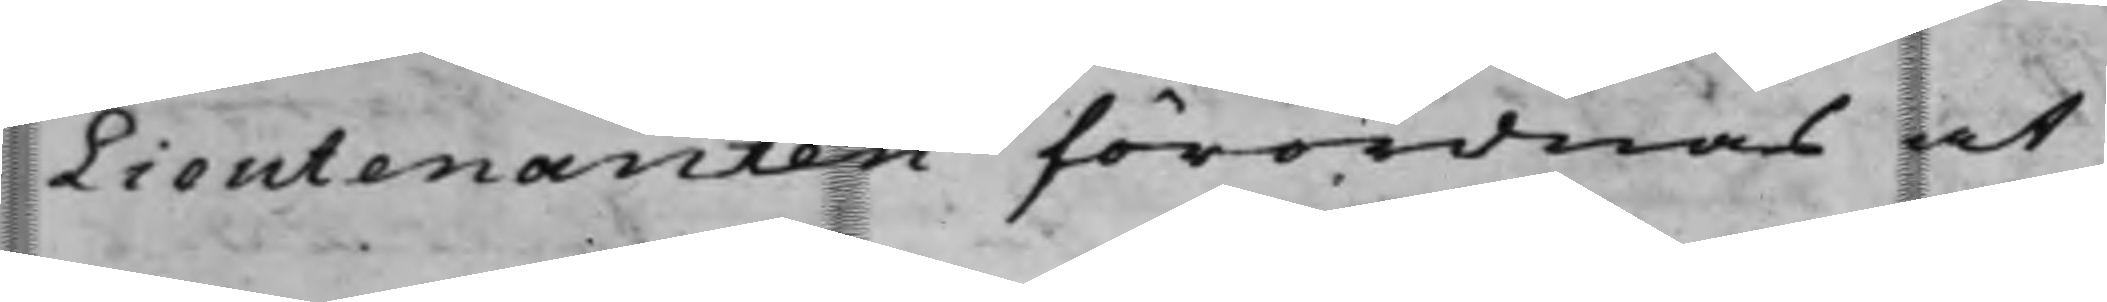Lieutenanten förordnas at
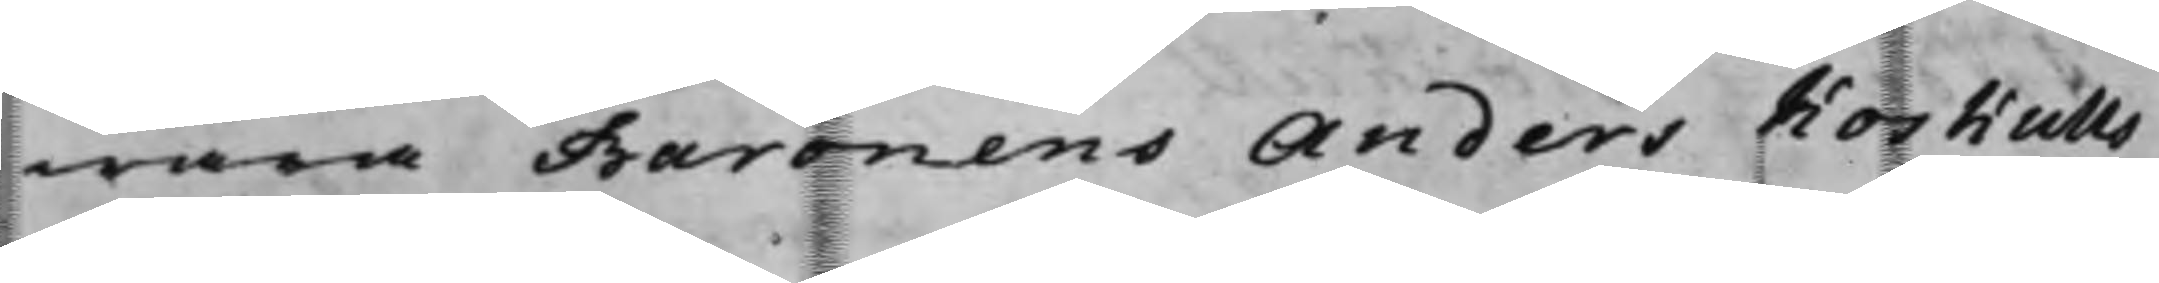wara Baronens Anders Koskulls
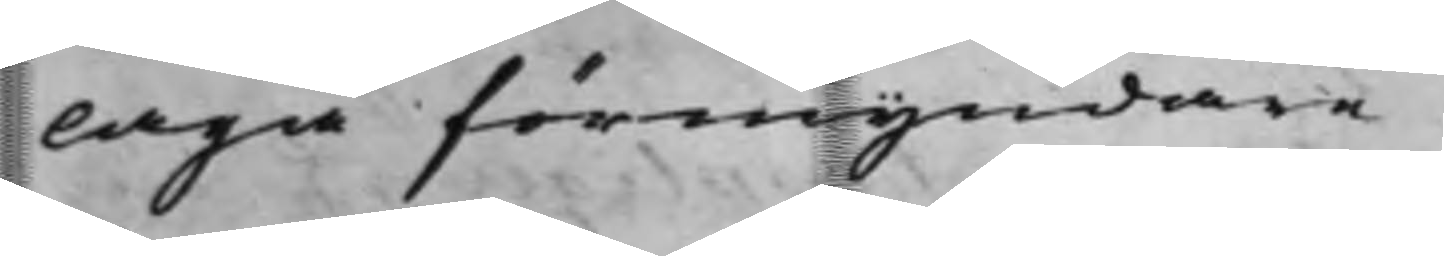laga förmyndare.
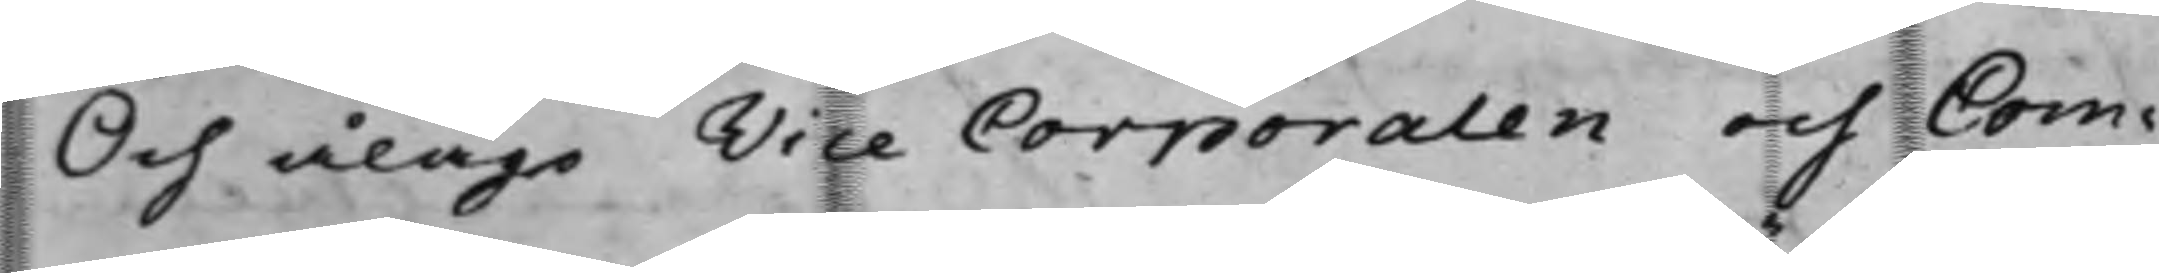Och ålågo Vice Corporalen och Com¬
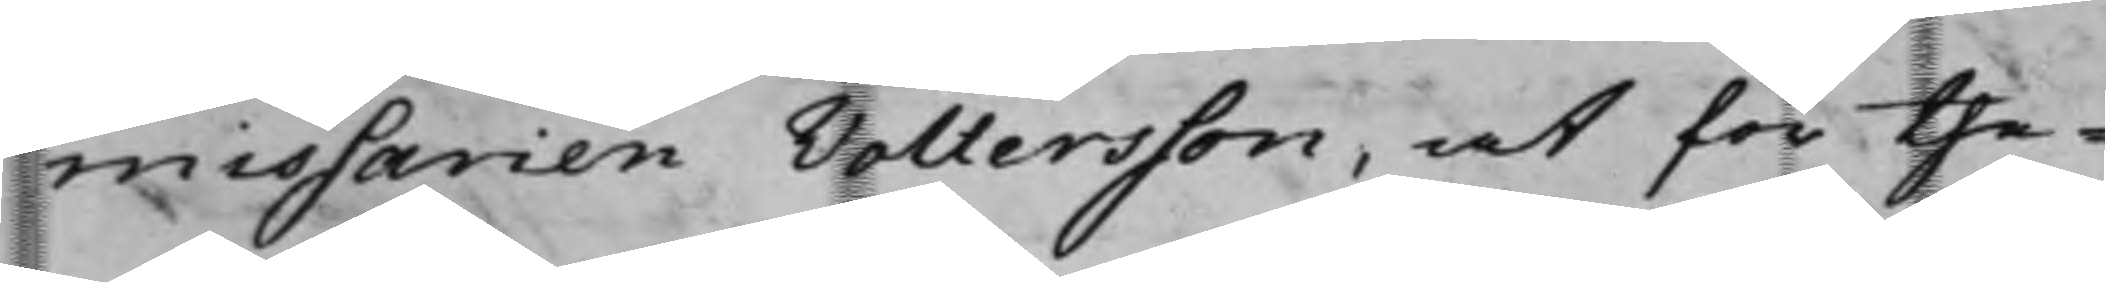missarien Voltersson, at för the¬
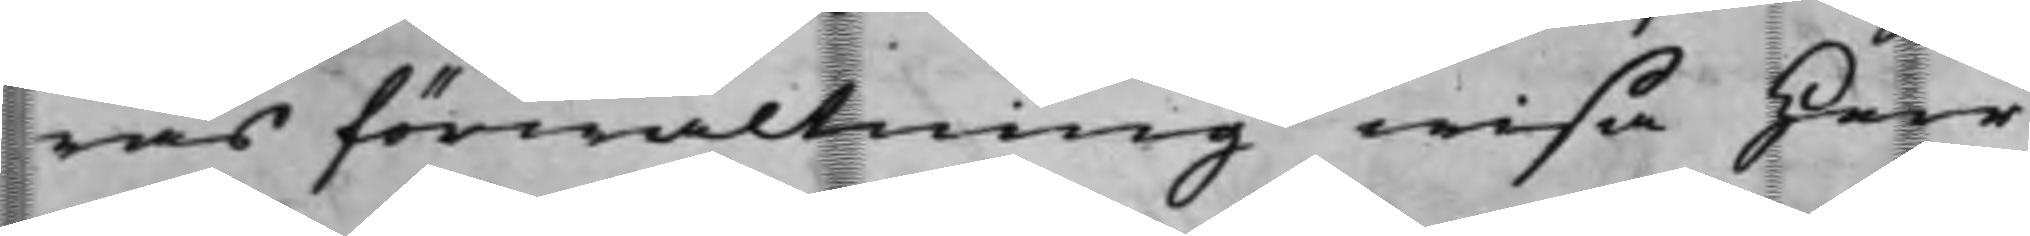ras förwaltning wisa Herr
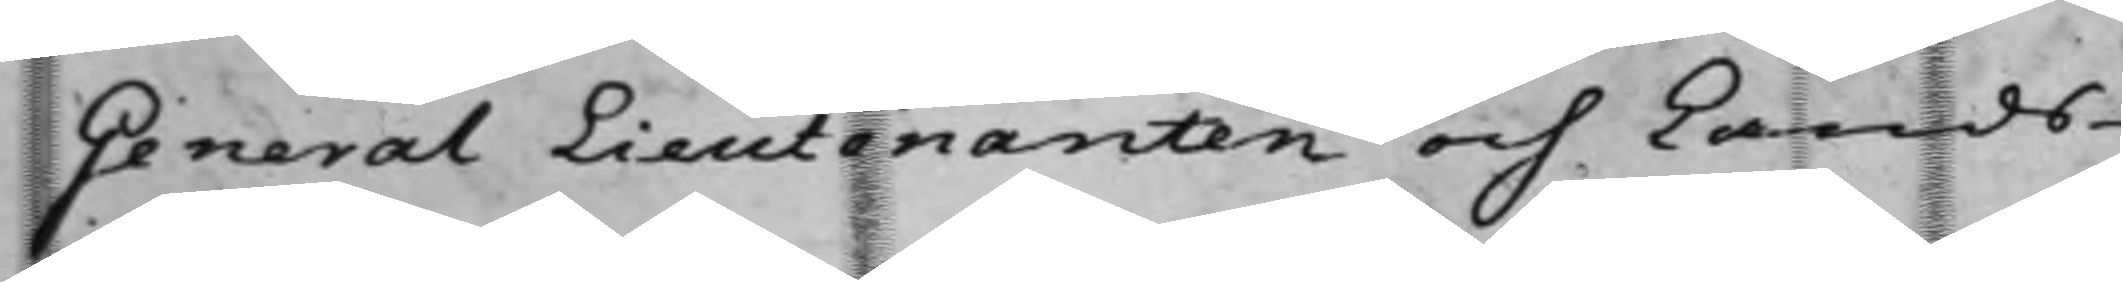General Lieutenanten och Lands¬
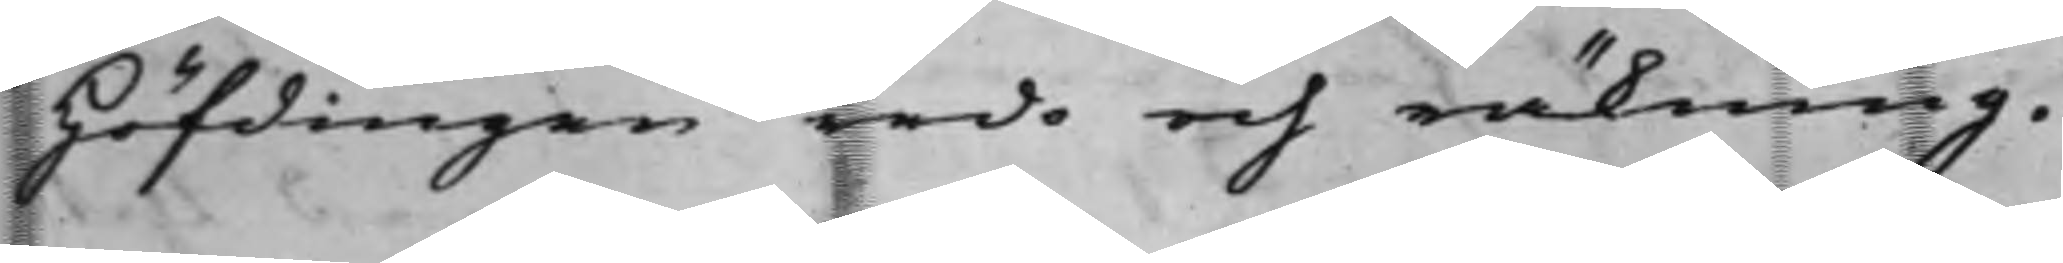höfdingen redo och räkning.
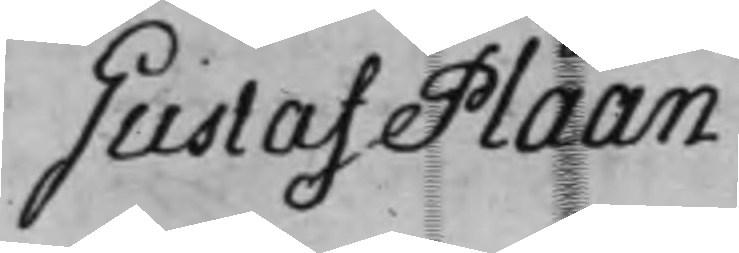Gustaf Plaan.
